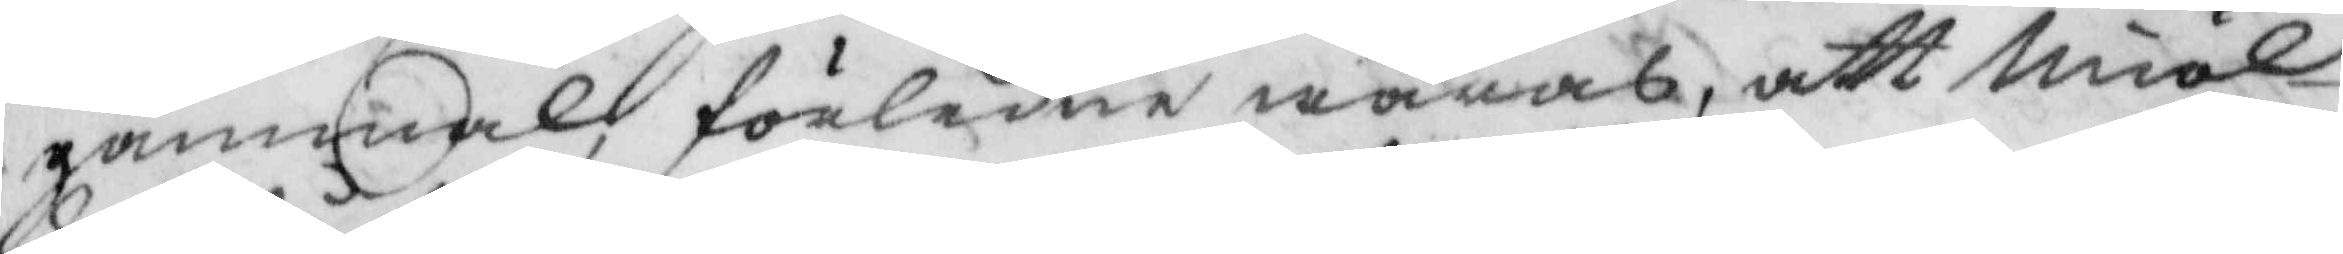gammal, förledne wåras, att miöl¬
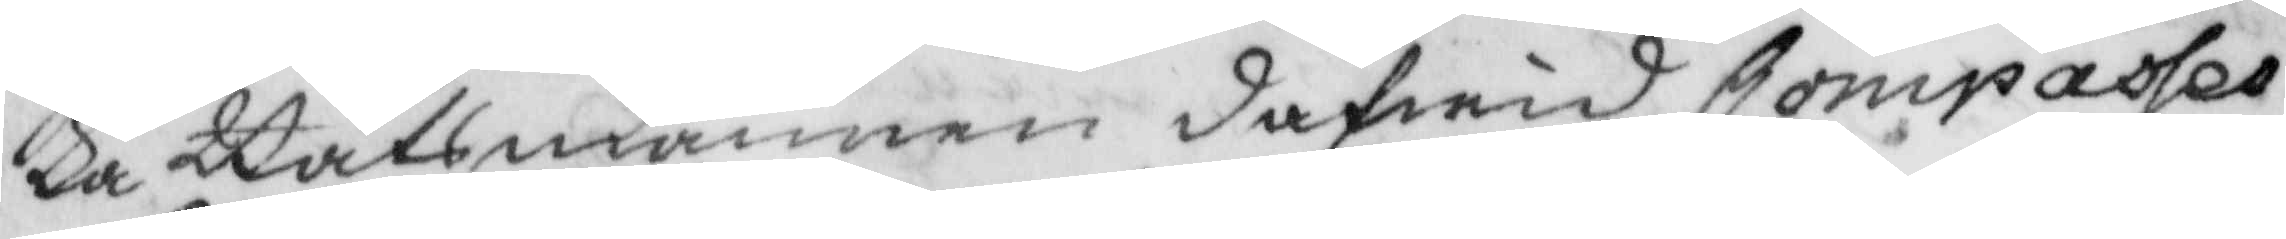ka Båtsmannen dafwid Compasses
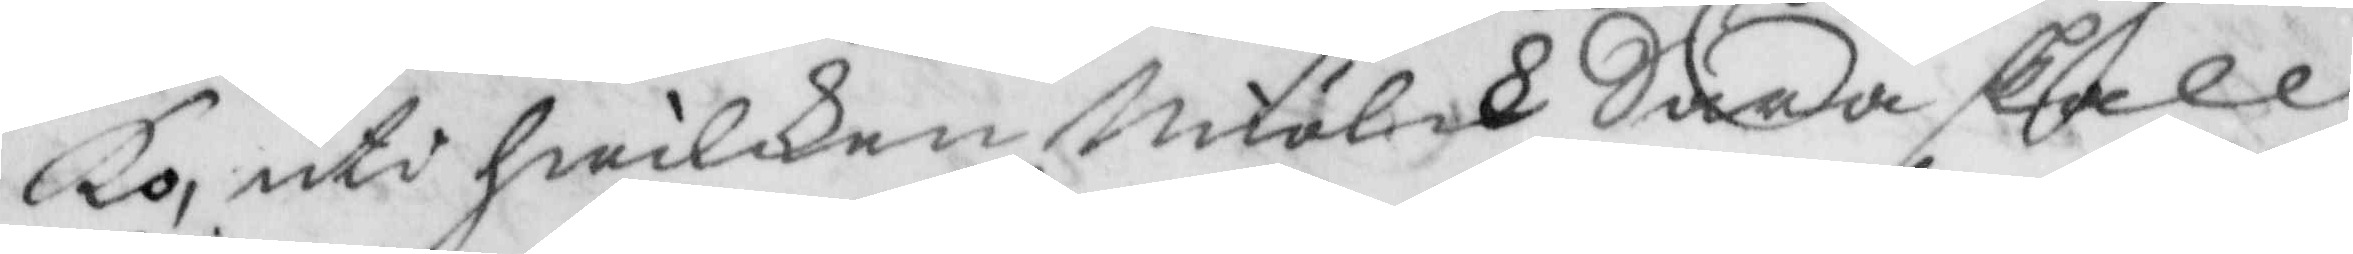Ko, uti hwilken Miölk Sara skall
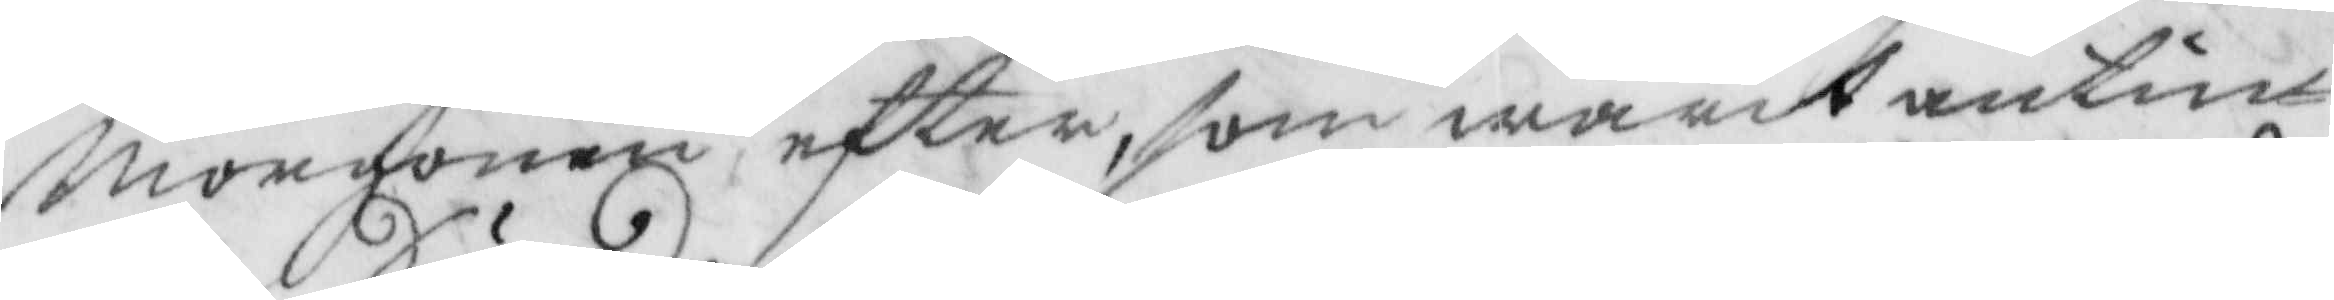morgonen efter, som warit antin¬
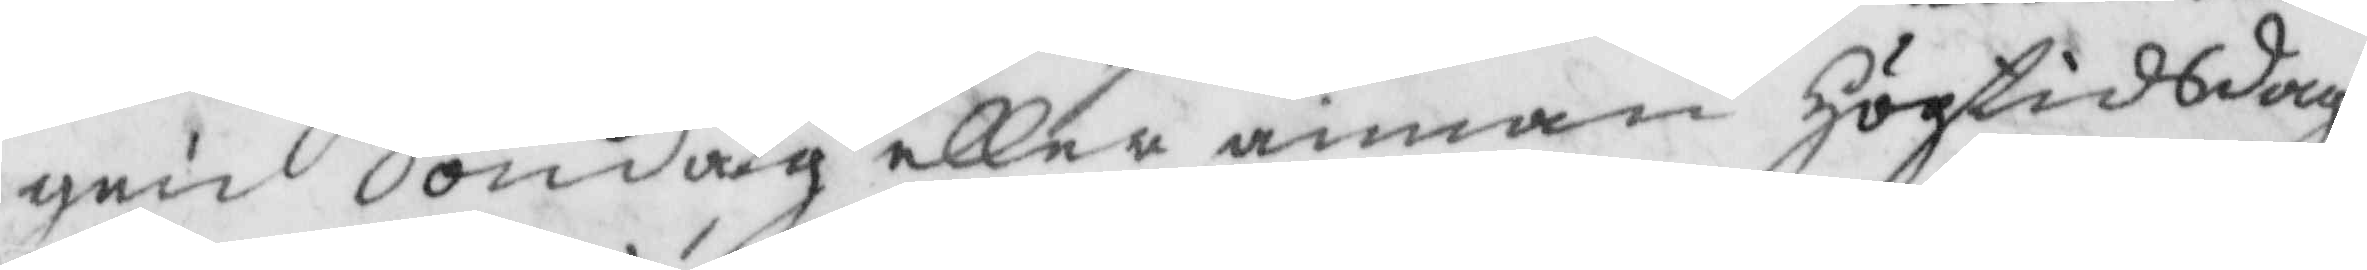gen Söndag eller annan Högtiddag,
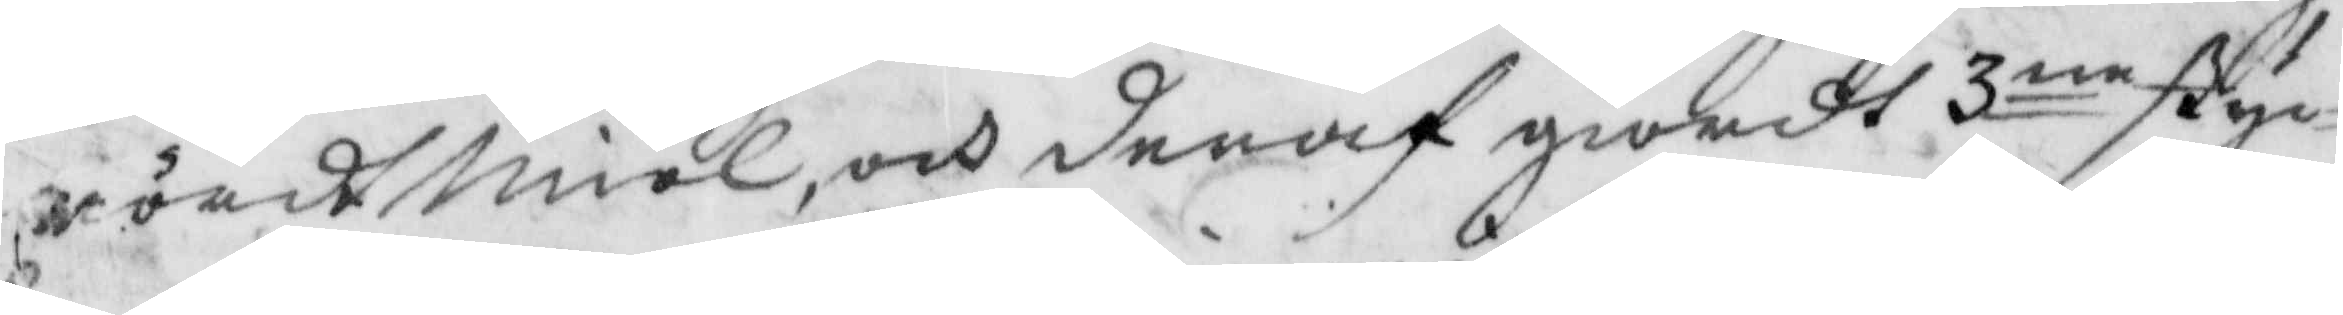rördt miöl, och deraf giordt 3ne styc¬
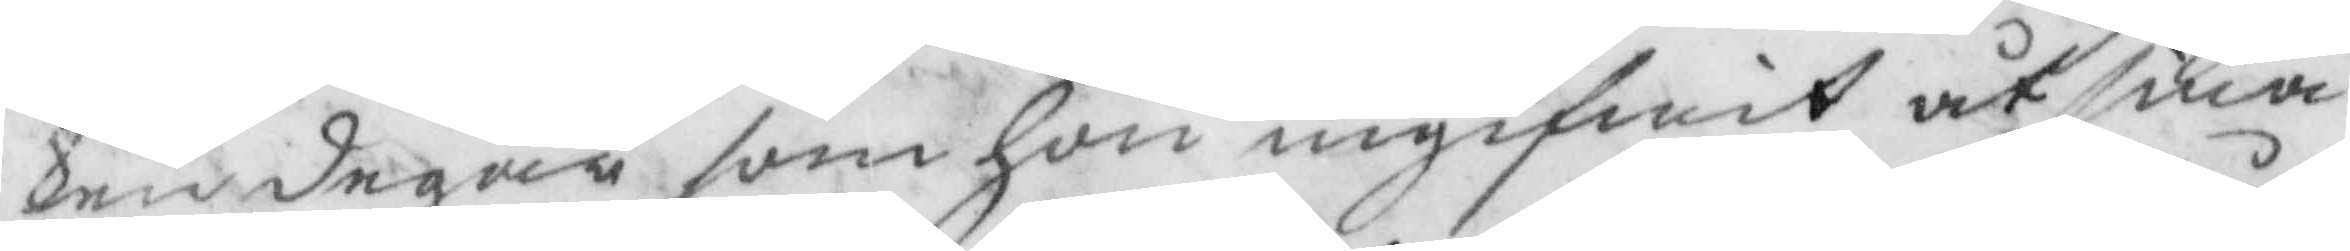ken degar som hon ingifwit åt sina
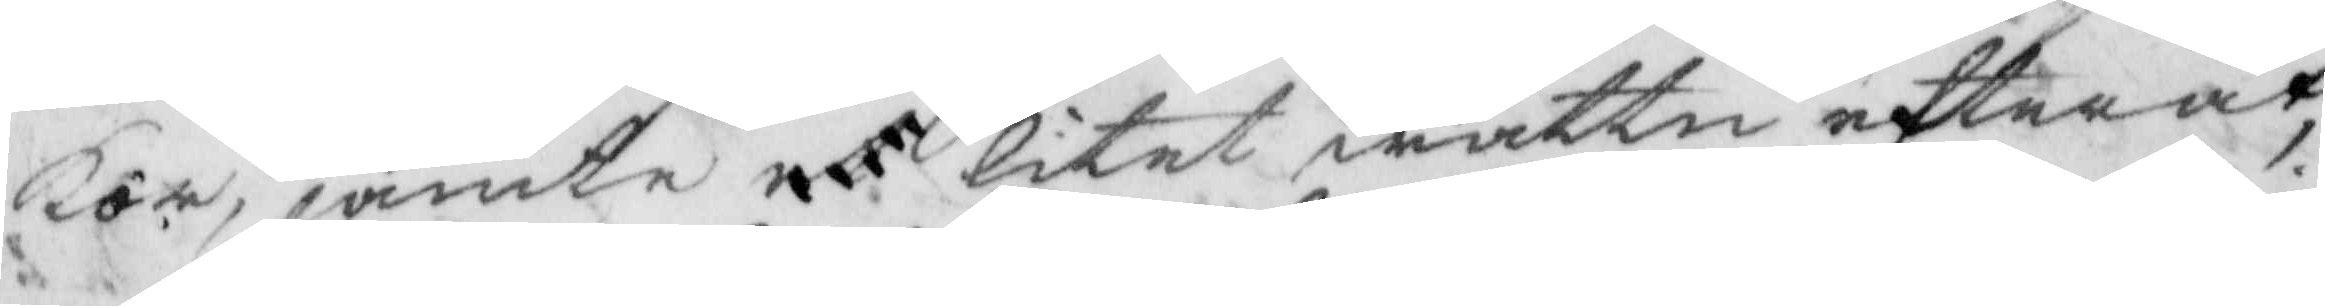kor, jämte et litet wattn efteråt,
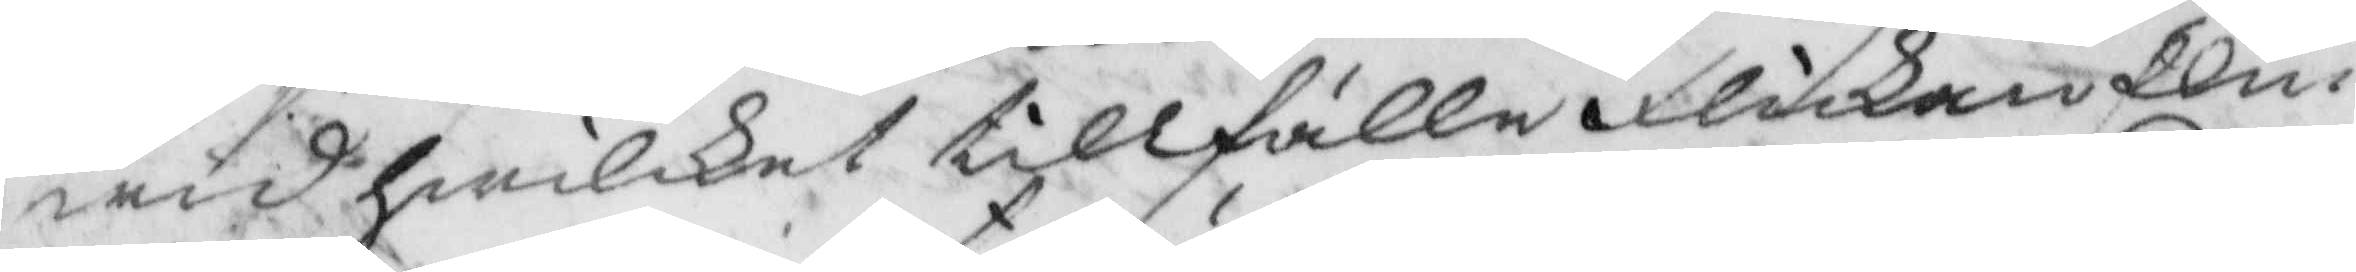wid hwilket tillfälle flickan Elin
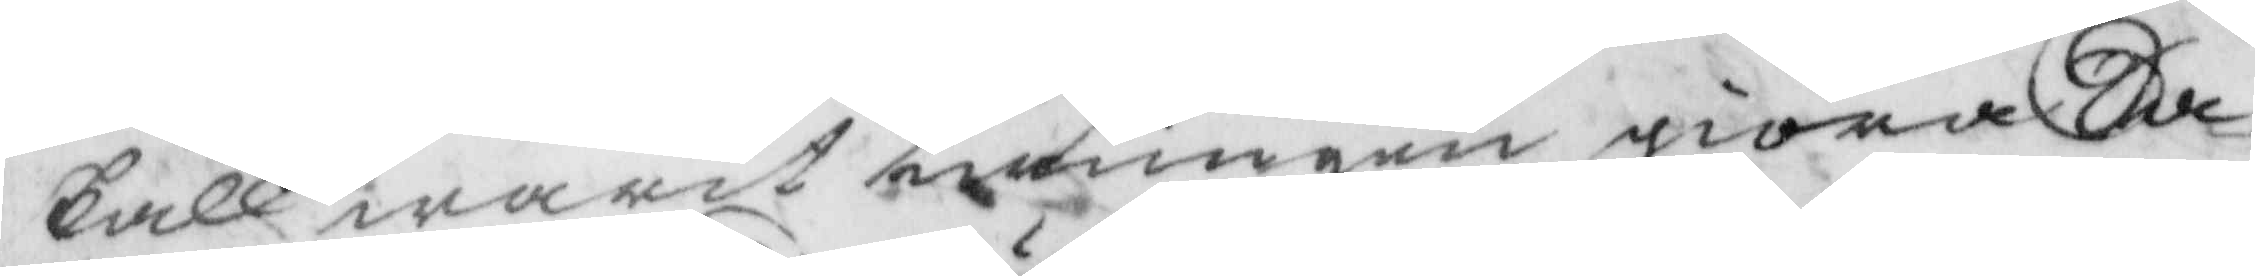skall warit twungen giöra Sa¬
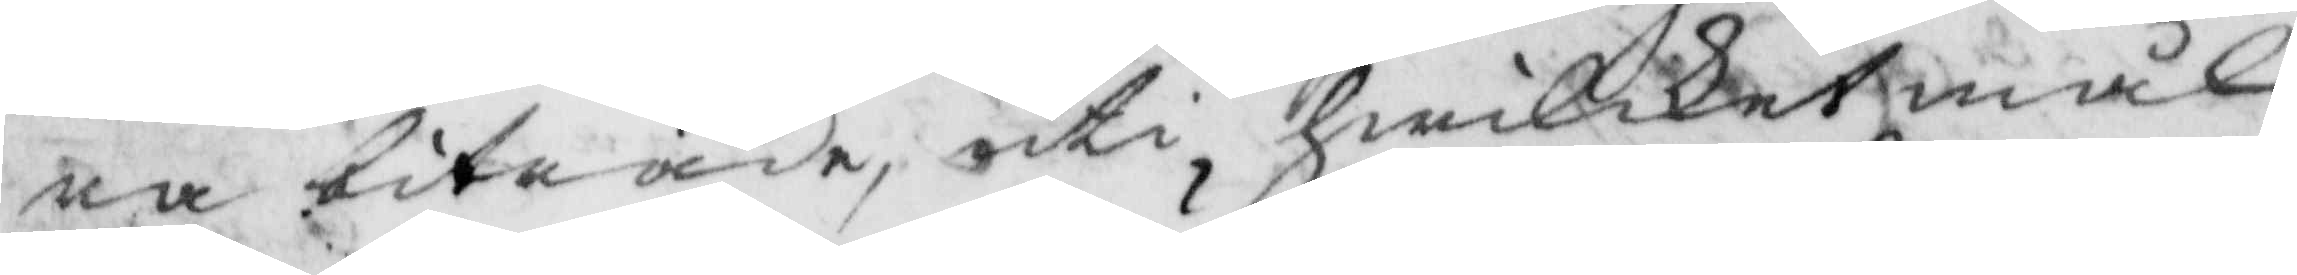ra biträde, uti hwilket mål
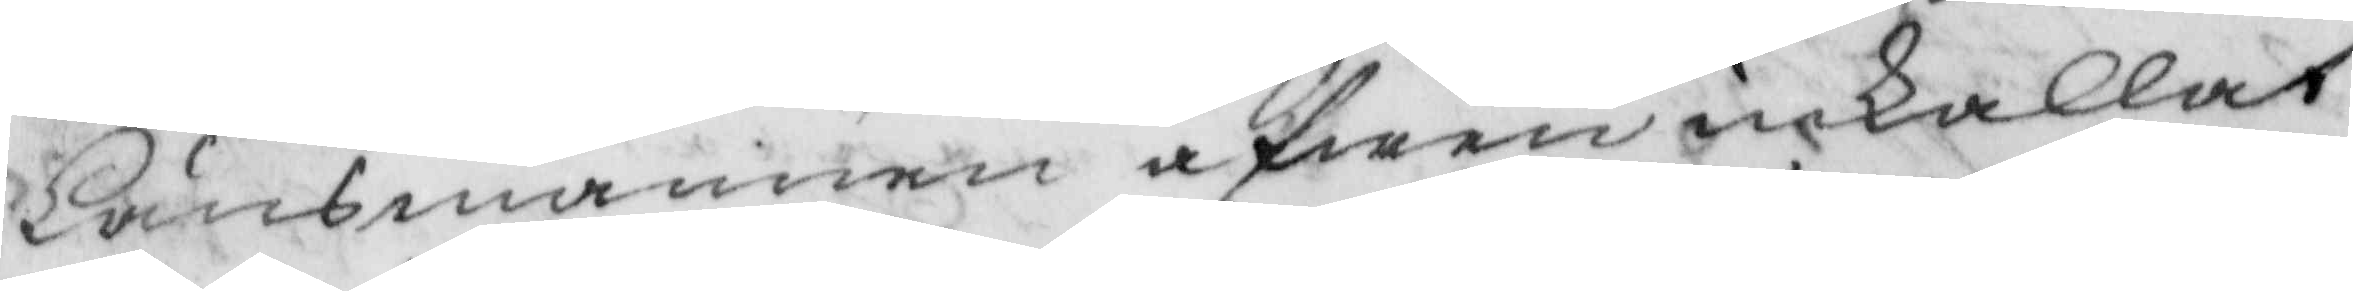Länsmannen äfwen inkallat
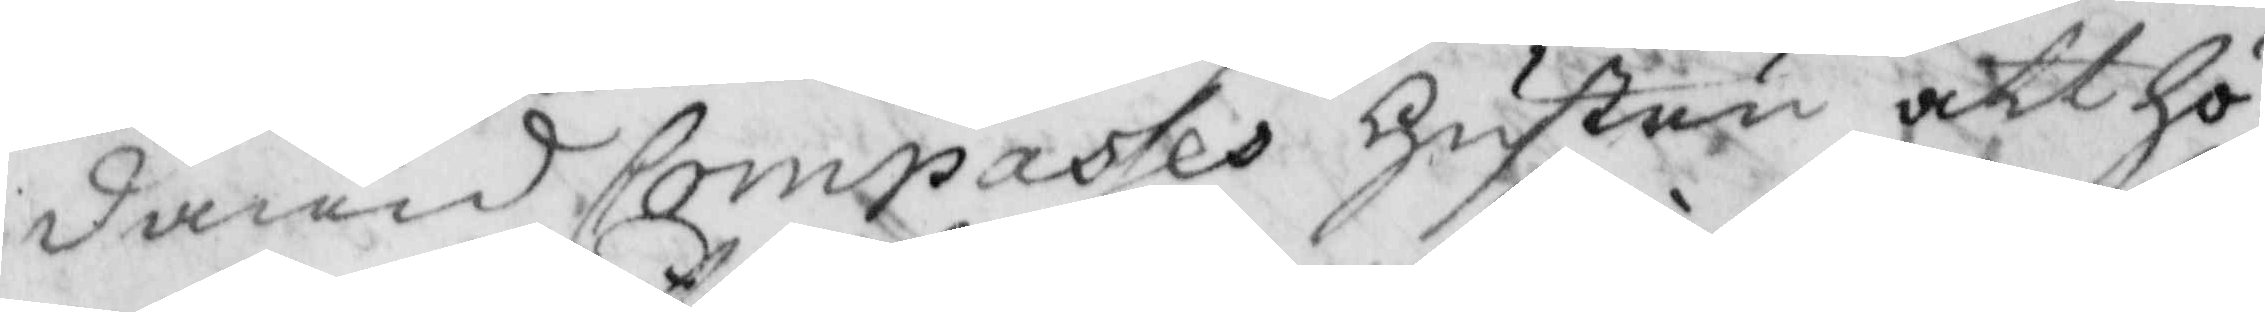dawid Compasses hustru att hö¬
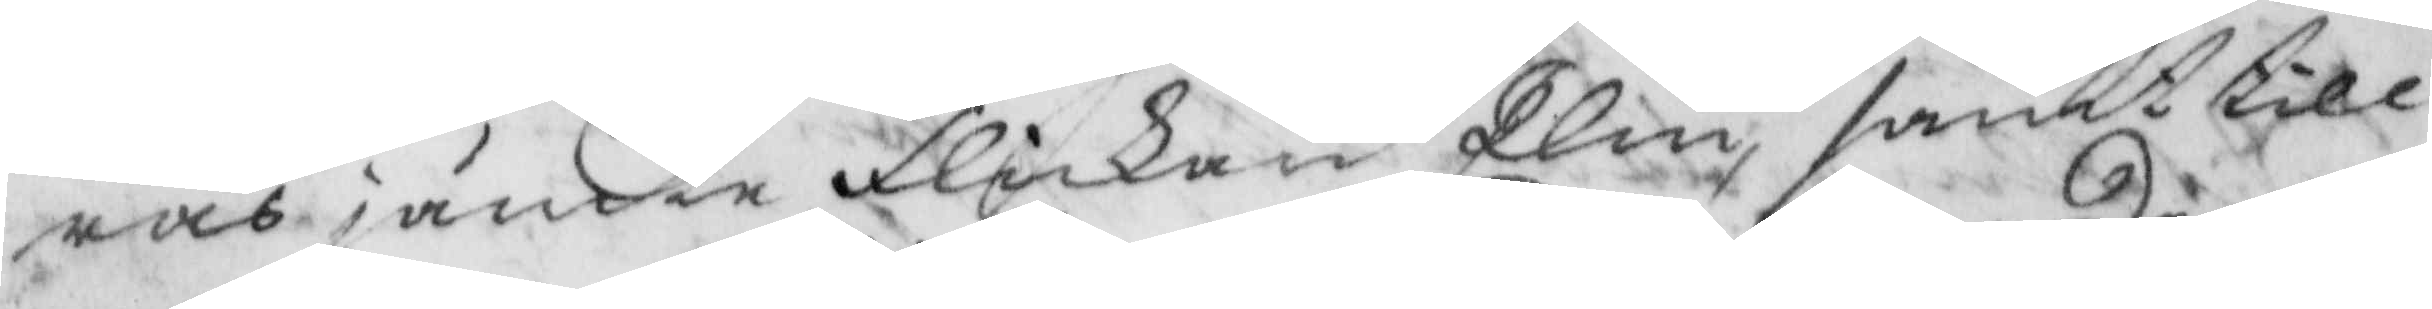ras jämte flickan Elin, samt till
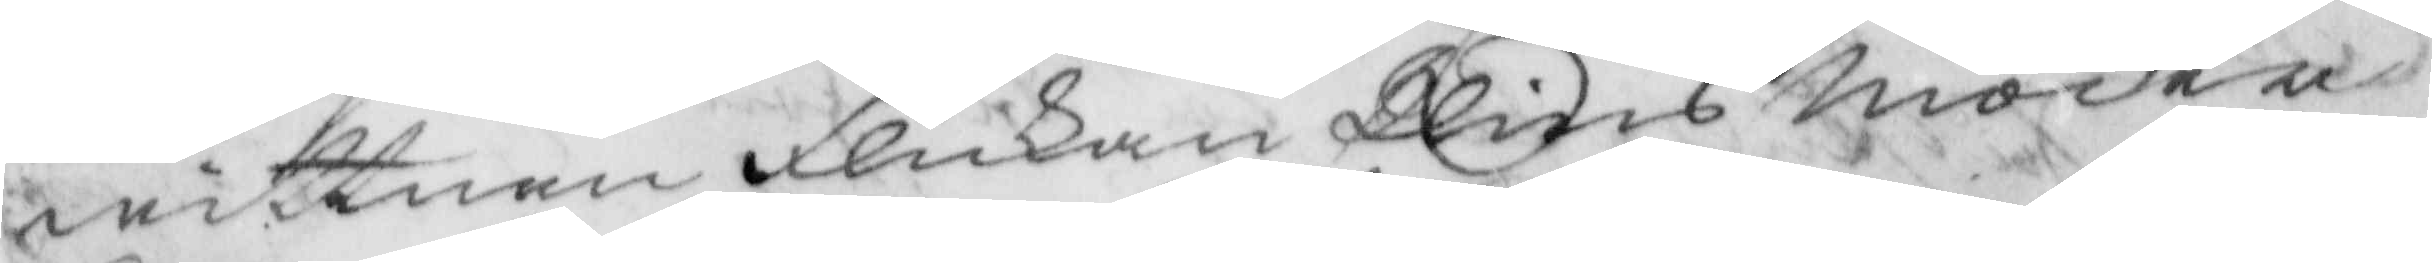wittnen flickan Elins Moder
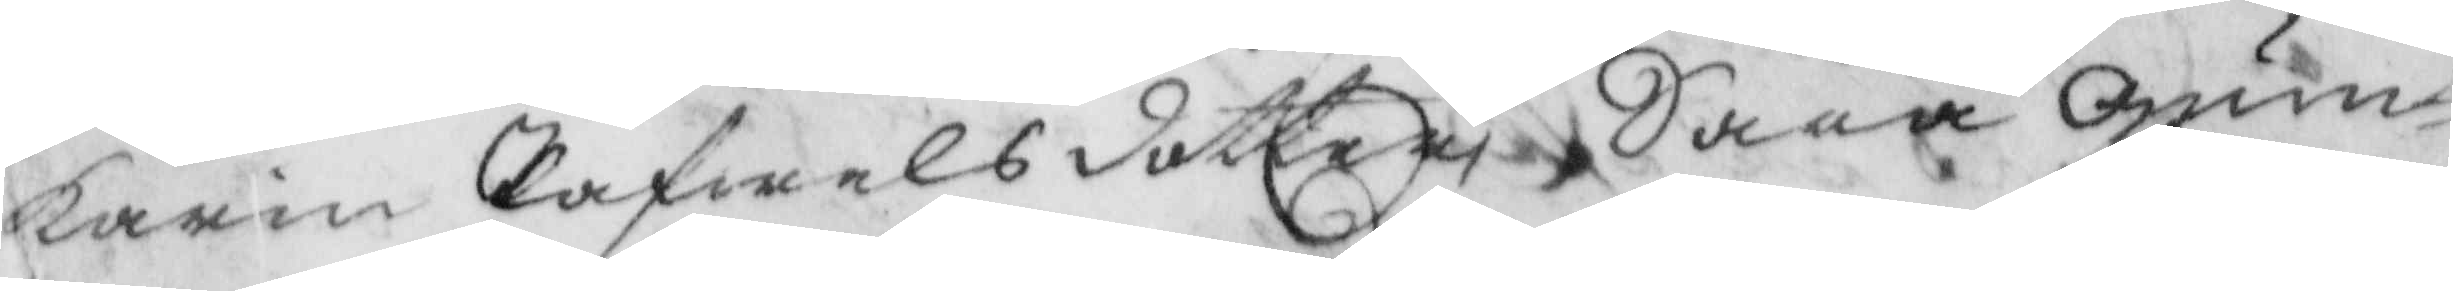Karin Pafwelsdotter, Sara Gum¬
